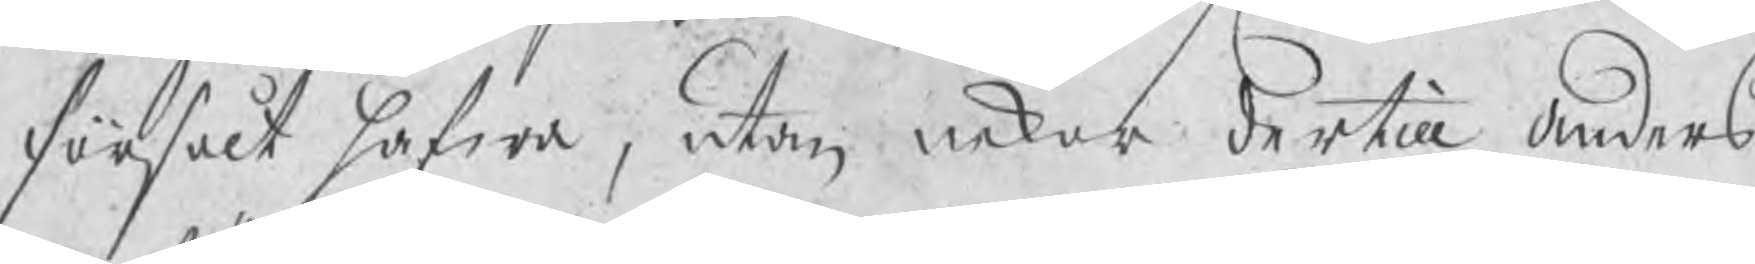försålt hafwa, utan nekar dertill Anders
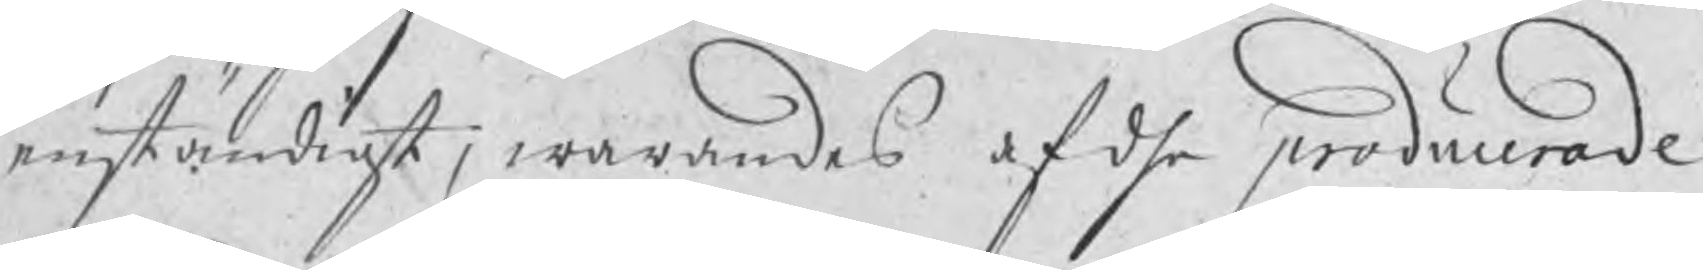enständigt; warandes af dhe producerade
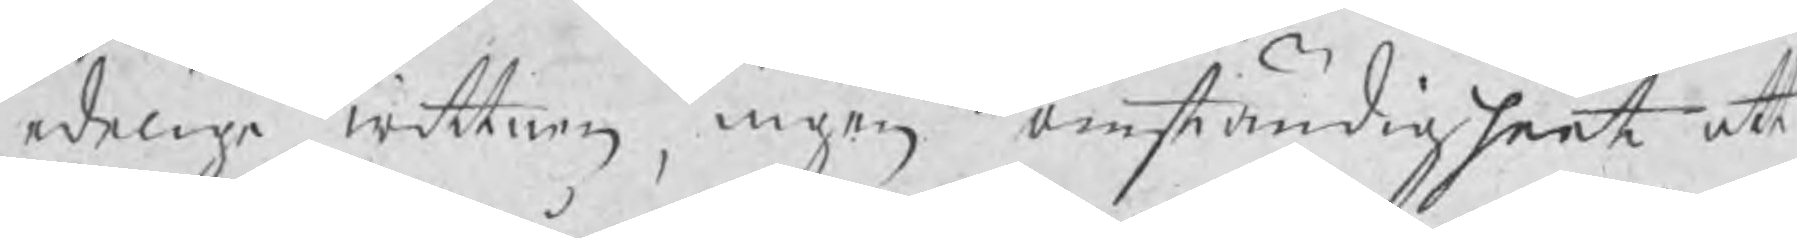edelige wittnen ingen omständigheet att
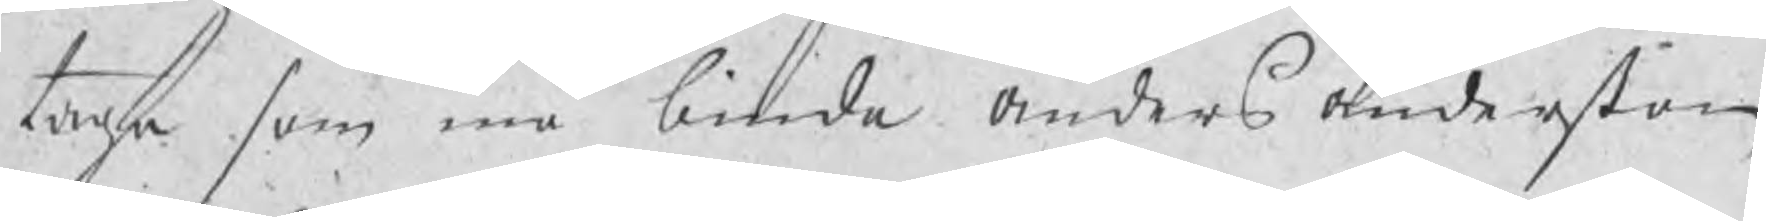taga som må binda Anders Anderßon
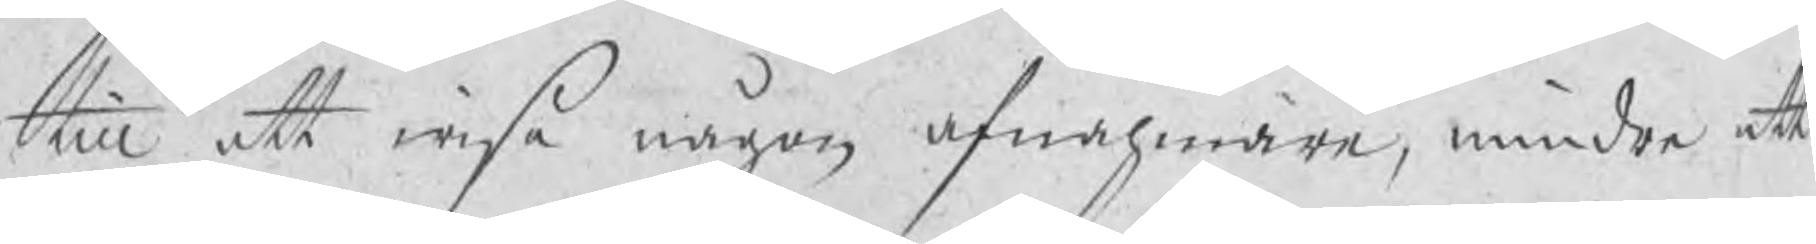till att wisa någon afnähmare, mindre att
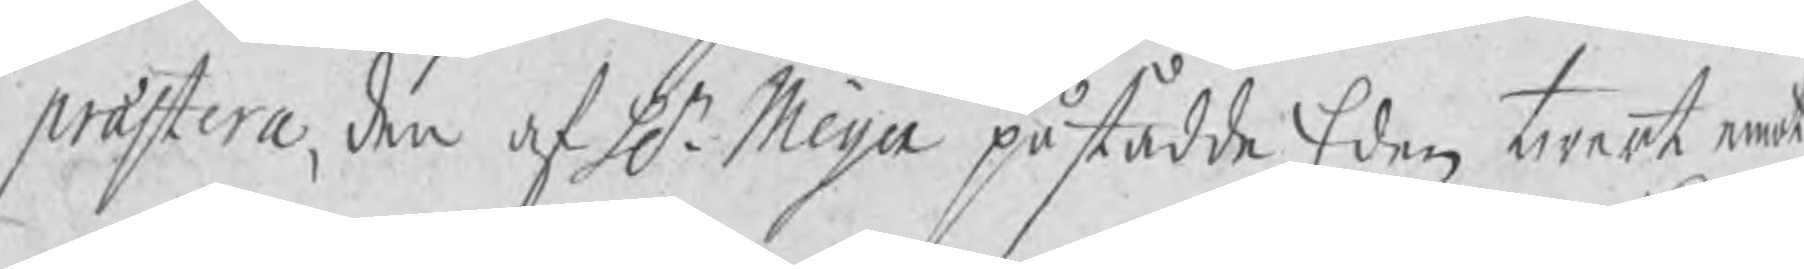præstera, den af Hr Meijer påstådde Eden twert emot
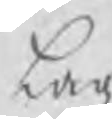Lag
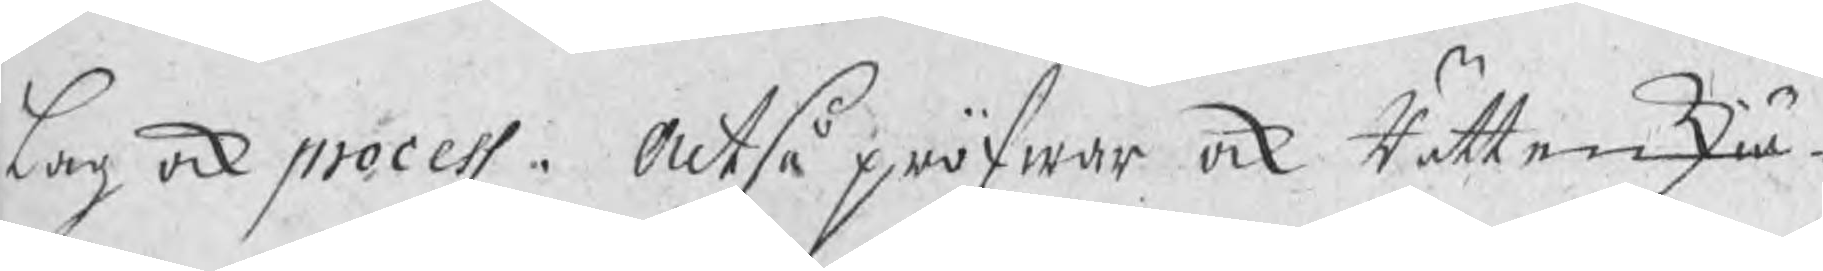Lag ock process. Altså pröfwar ock Rätten skiä¬
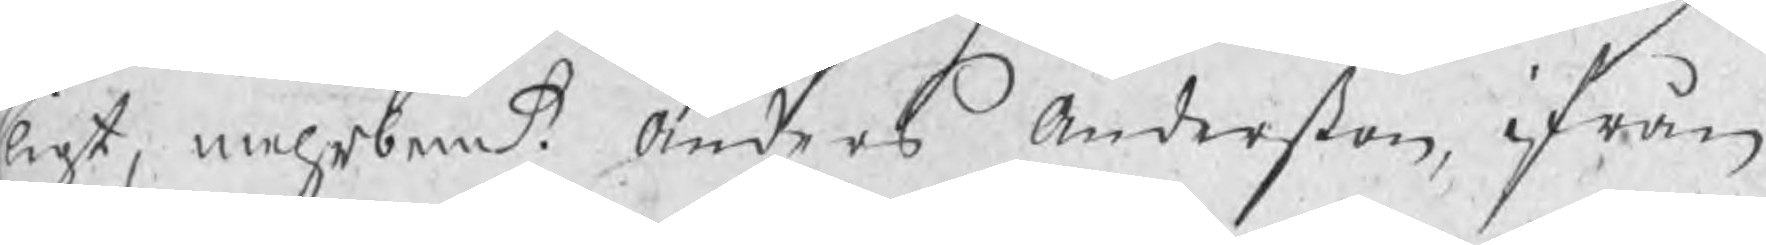ligt, mehrbemte Anders Anderßon ifrån
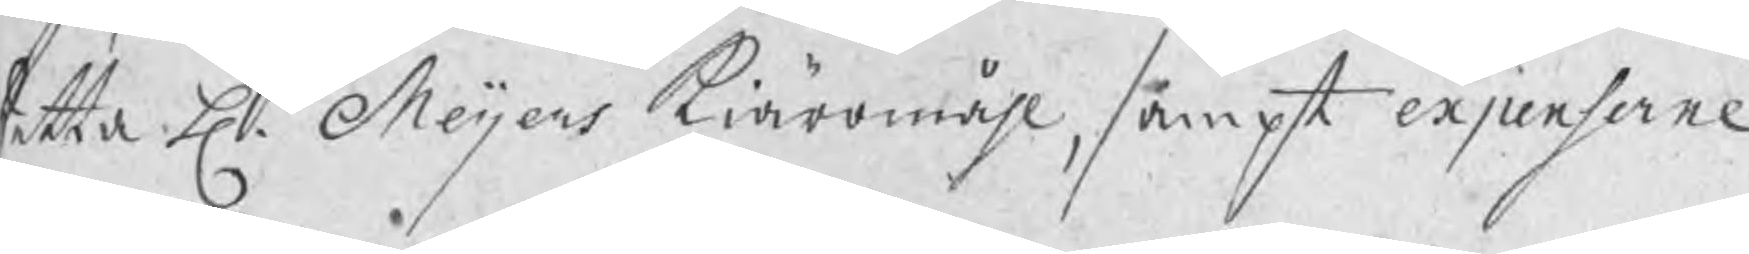detta H. Meijers kiäromåhl, sampt expenserne
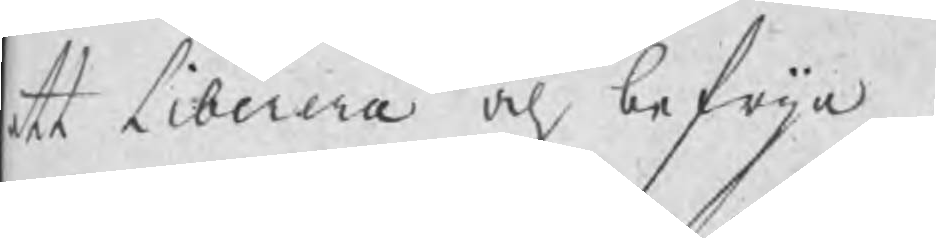att Liberera och befrija.
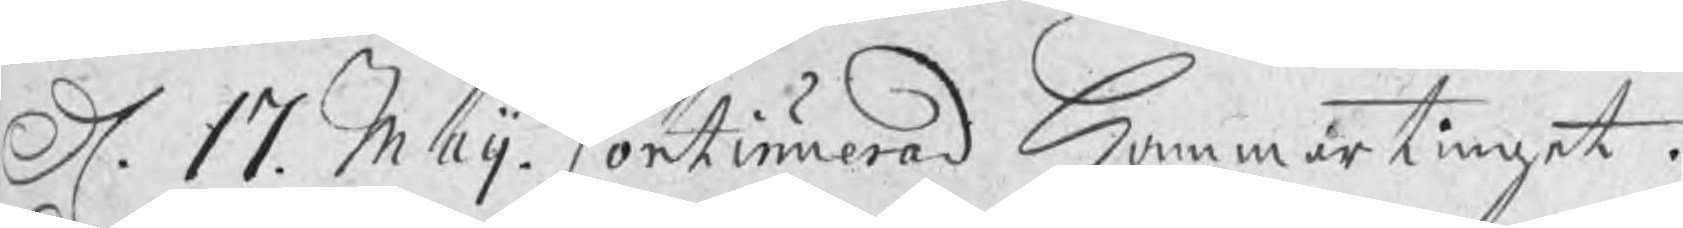D. 17 Maij. Continuerad Hammartinget.
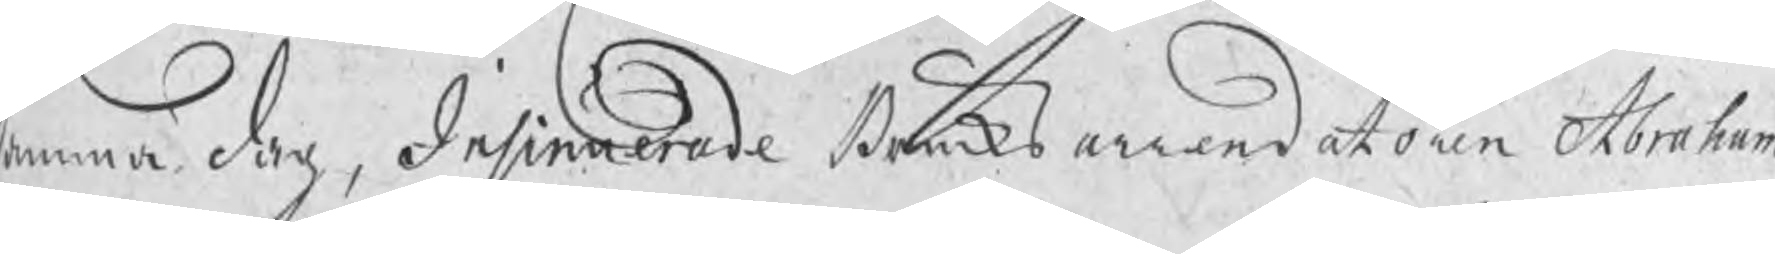Samma dag, Insinuerade Bruksarrendatoren Abraham
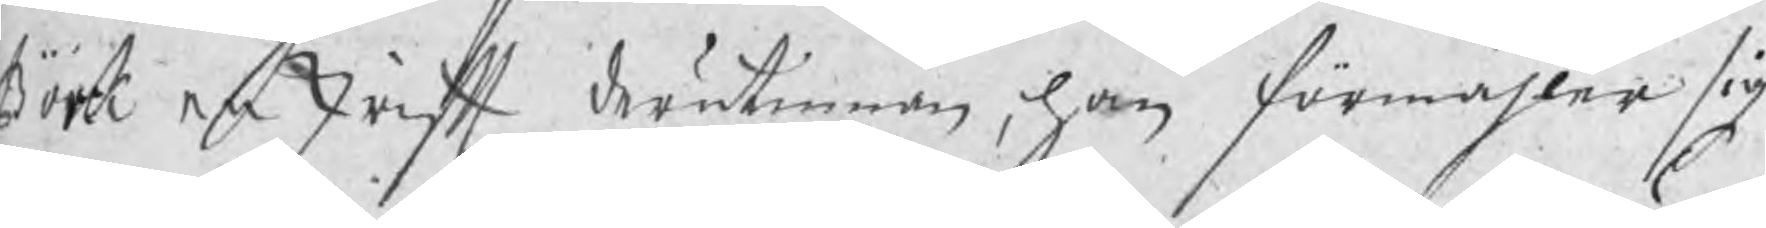Bork en skrift derutinnan, han förmähler sig
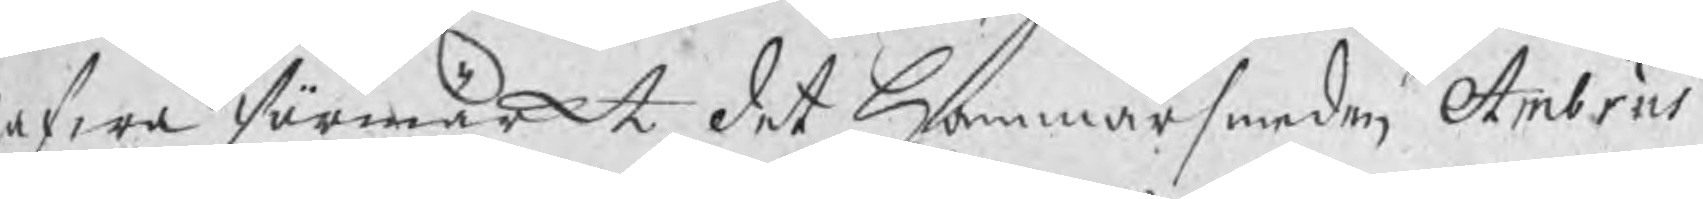hafwa förmärkt, det Hammarsmeden Ambrus
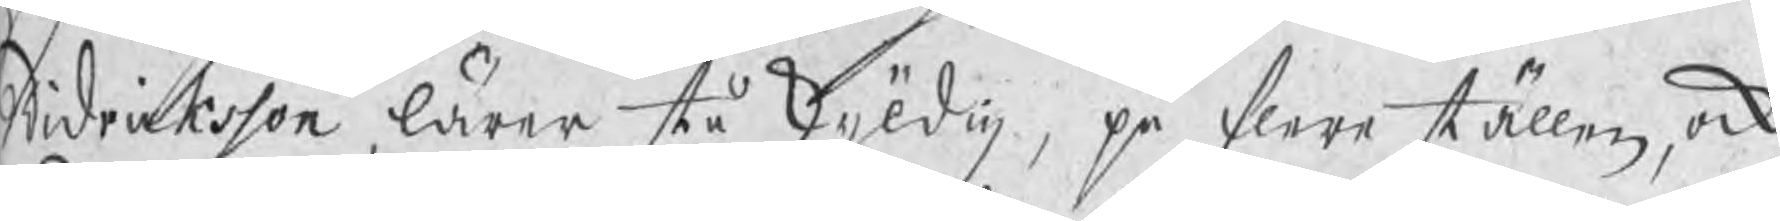Didricksson, lärer stå skyldig, på flere ställen, ock
